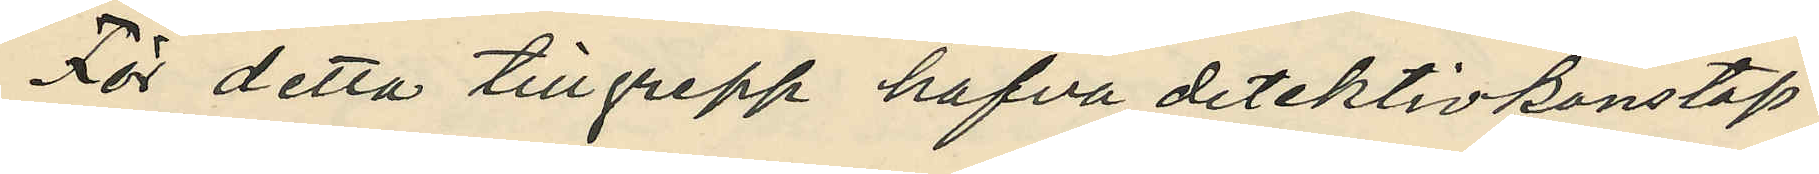För detta tillgrep hafva detektivkonstap¬
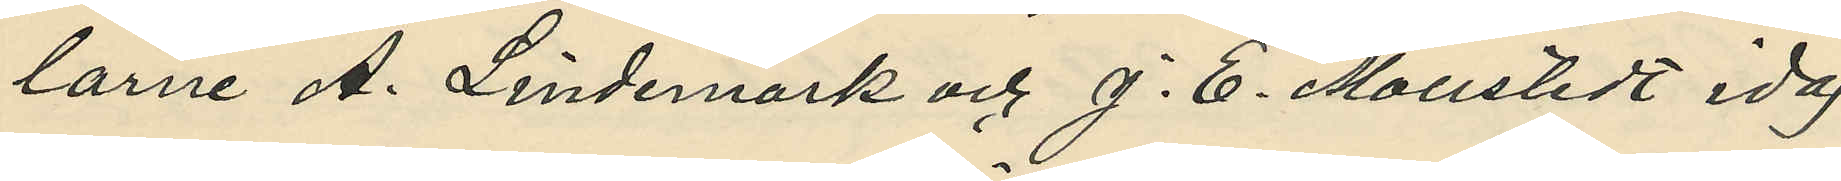larne A. Lindemark och J. E. Mollstedt idag
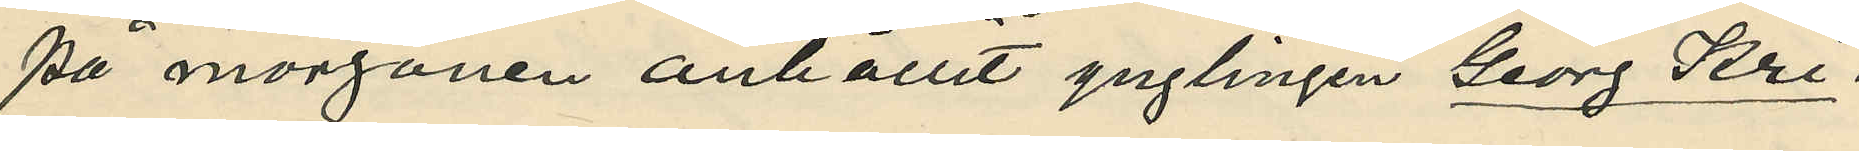på morgonen anhållit ynglingen Georg Kri¬
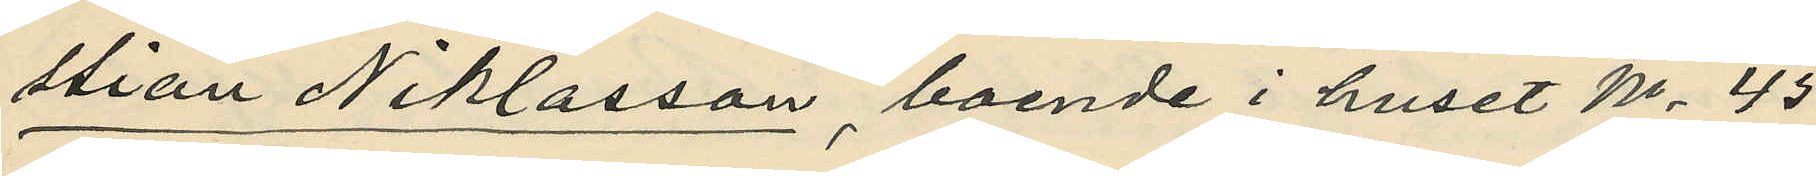stian Niklasson, boende i huset No 45
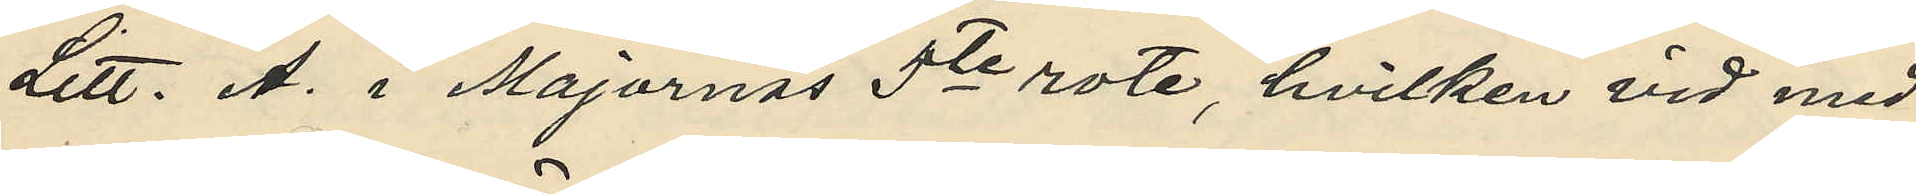Litt. A. i Majornas 5te rote, hvilken vid med
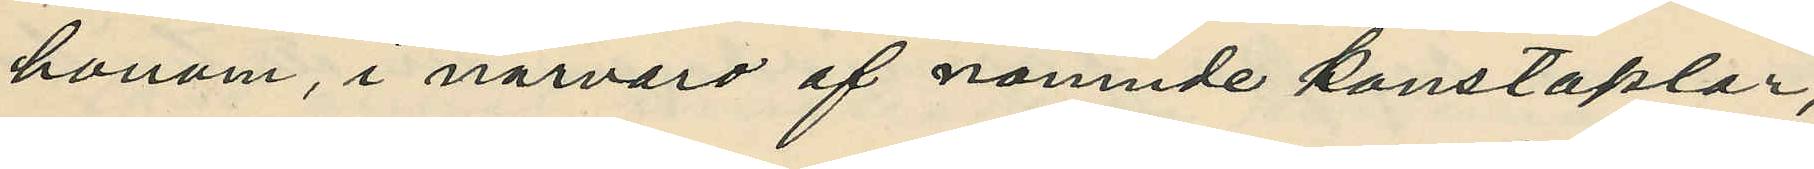honom i närvaro af nämnde konstaplar,
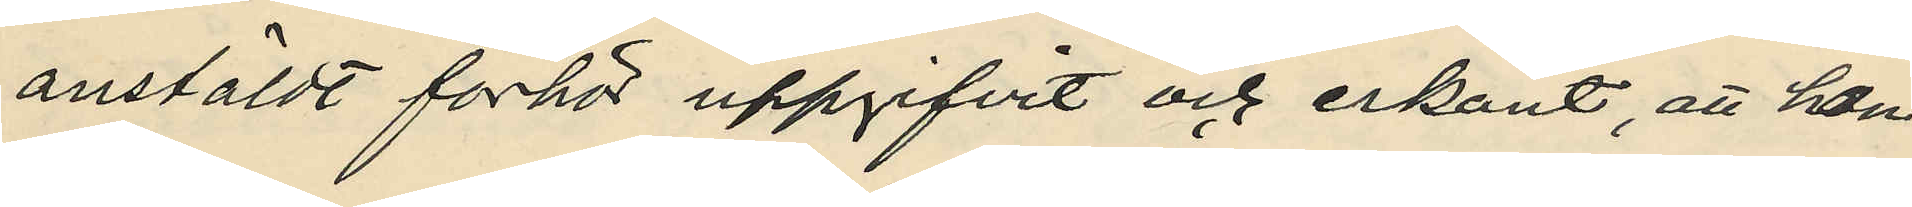anstäldt förhör uppgifvit och erkänt, att han
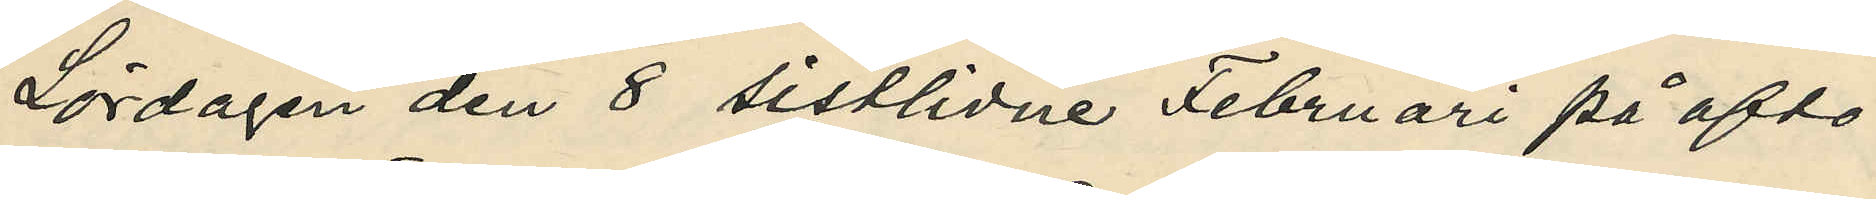Lördagen den 8 sistlidne Februari på afto¬
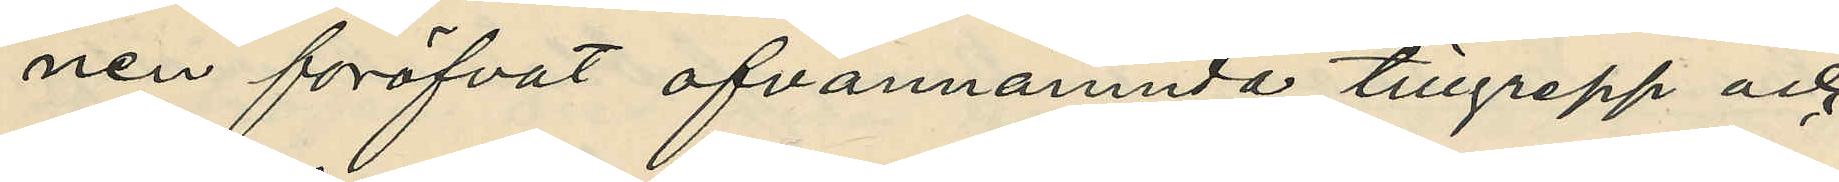nen föröfrat ofvannämnde tillgrepp och
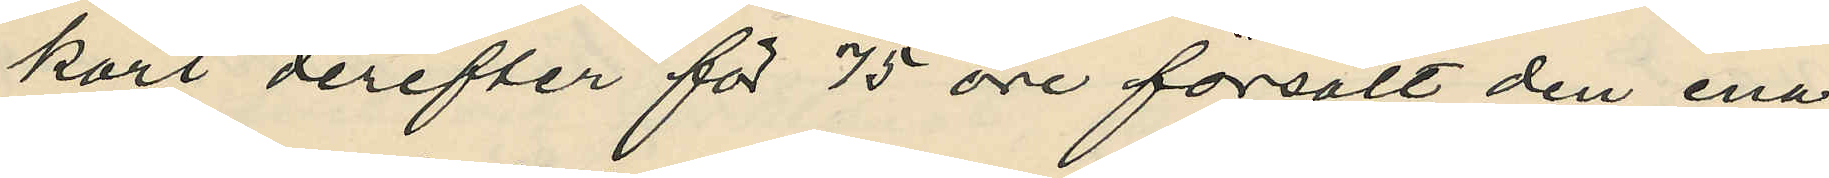kort derefter för 75 öre försålt den ena
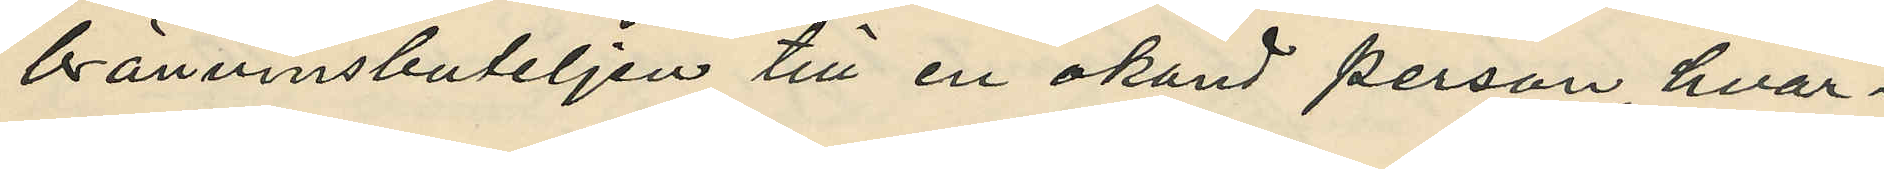brännvinsbuteljen till en okänd person, hvar¬
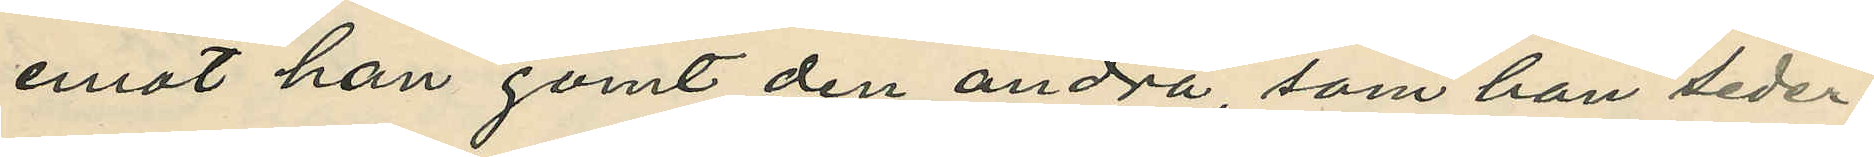emot han gömt den andra, som han seder¬
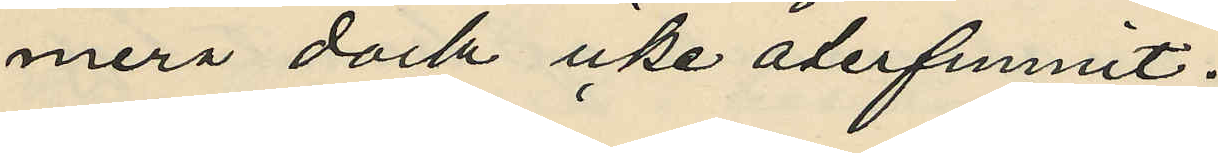mera dock icke återfunnit;
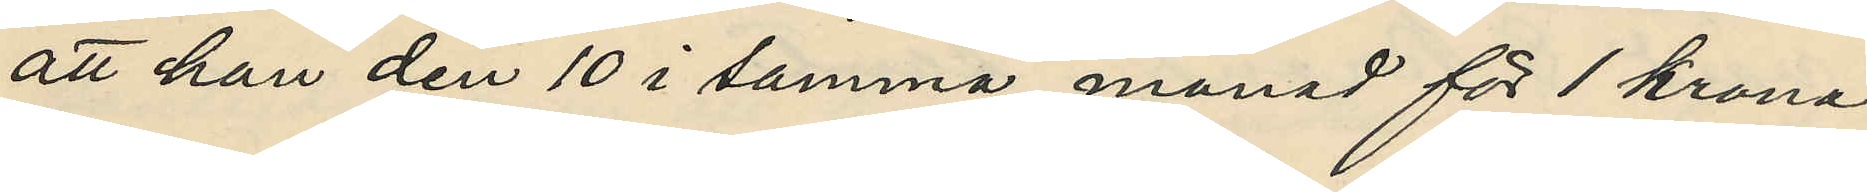att han den 10 i samma månad för 1 krona
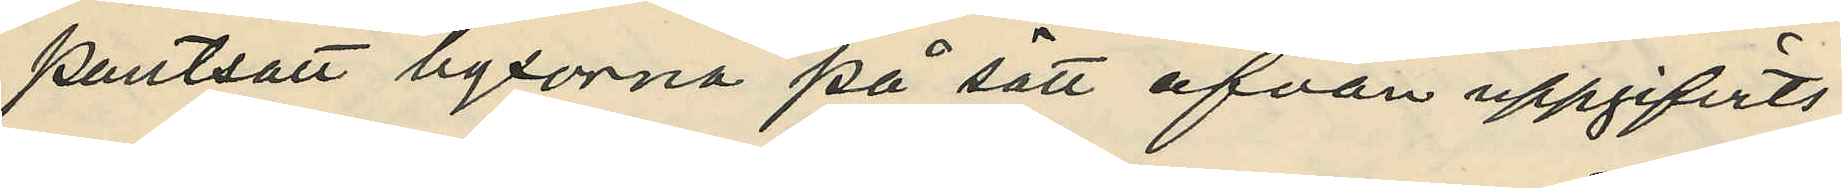pantsatt byxorna på sätt ofvan uppgifvits;
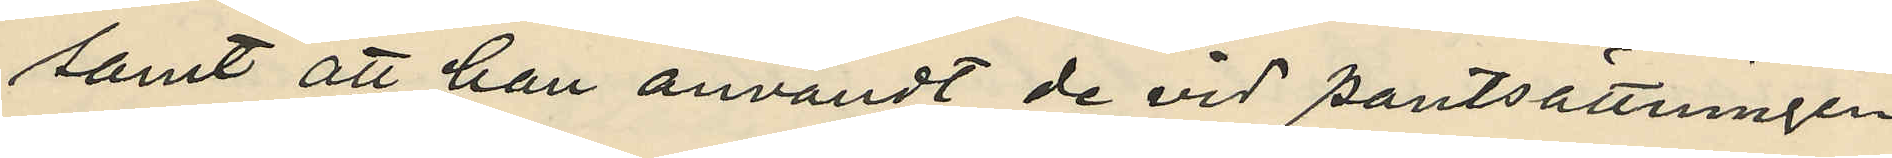samt att han användt de vid pantsättningen
